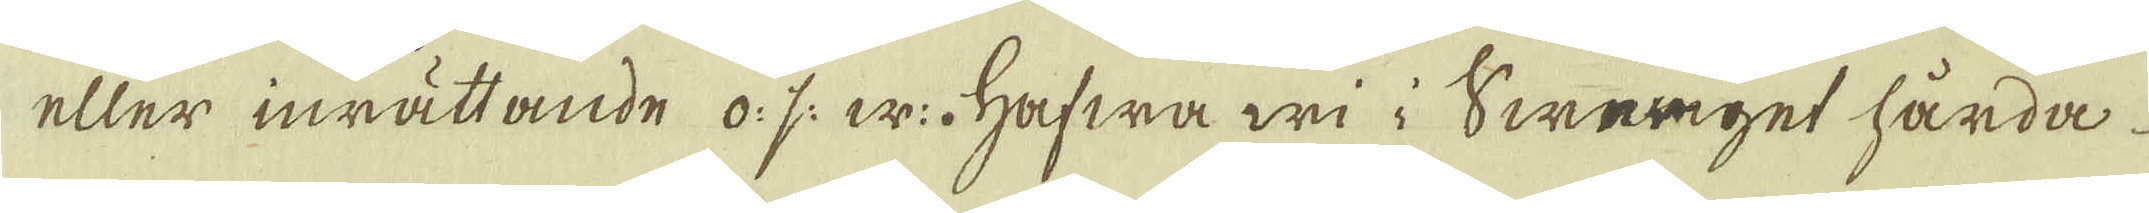eller inrättande o: s: w:. Hafwa wi i Sweriget hårda
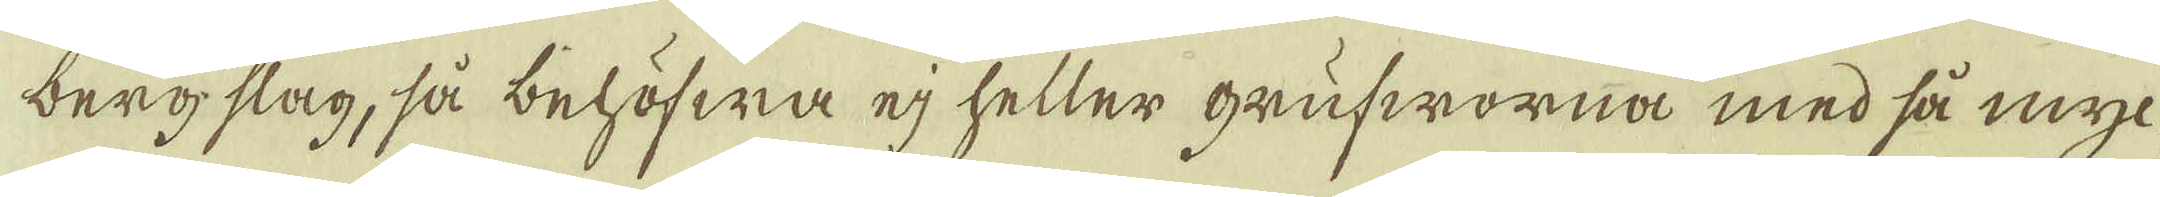bergslag, så behöfwa ej heller grufworna med så myc-
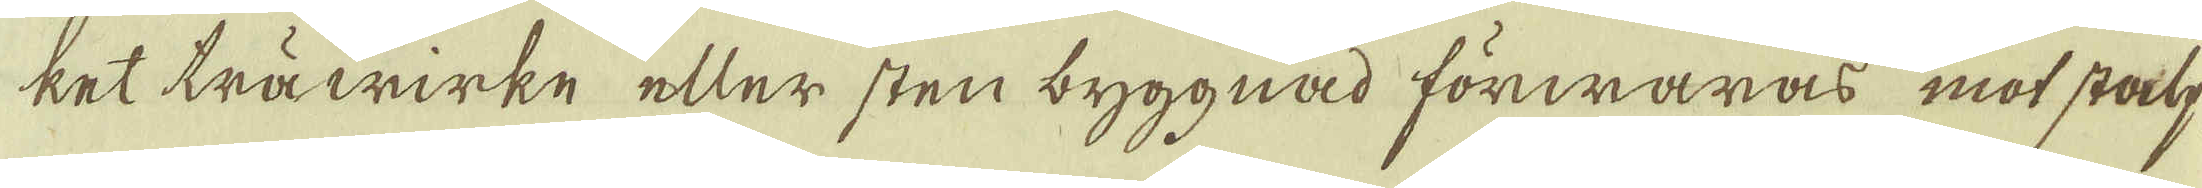ket träwirke eller stenbyggnad förwaras mot stalp,
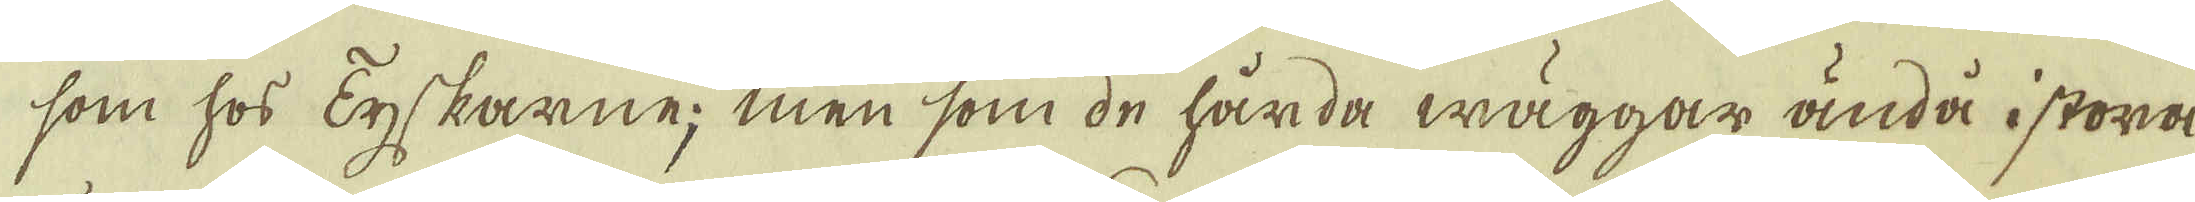som hos Tyskarne; men som de hårda wäggar ändå i stora
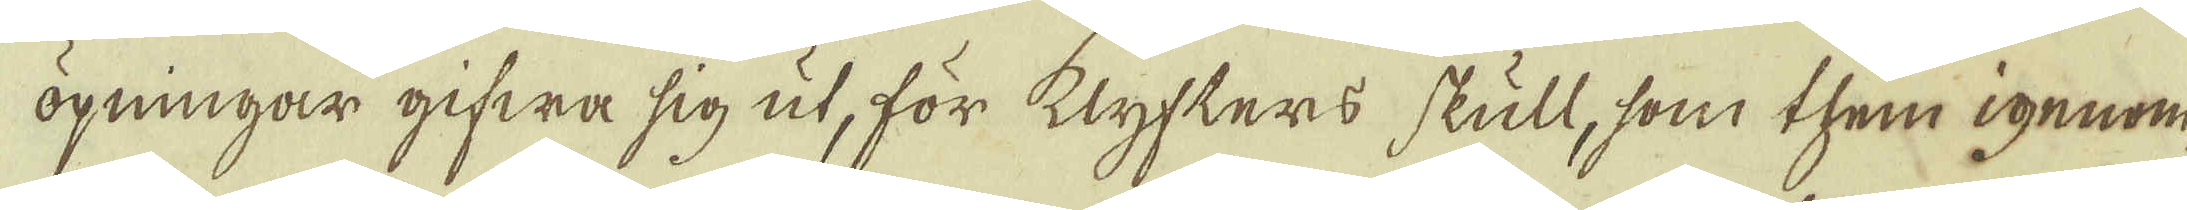öpningar gifwa sig ut, för klyfters skull, som them igenom
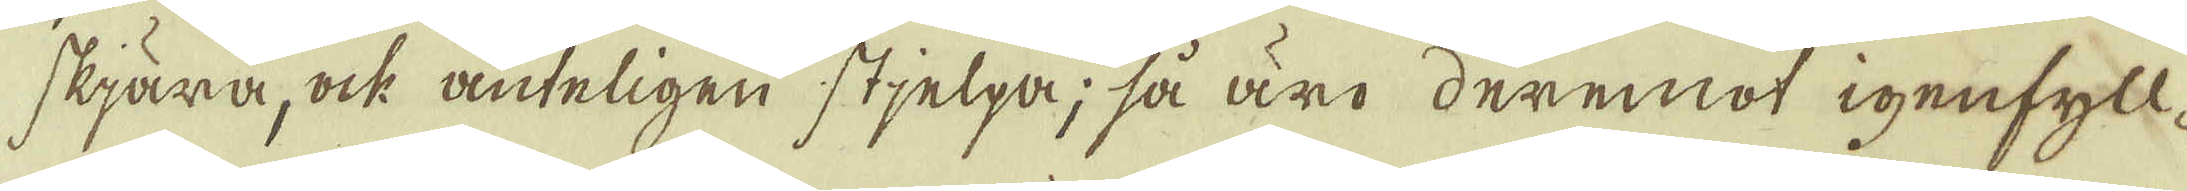skiära, ock änteligen stjelpa; så äro deremot igenfyll-
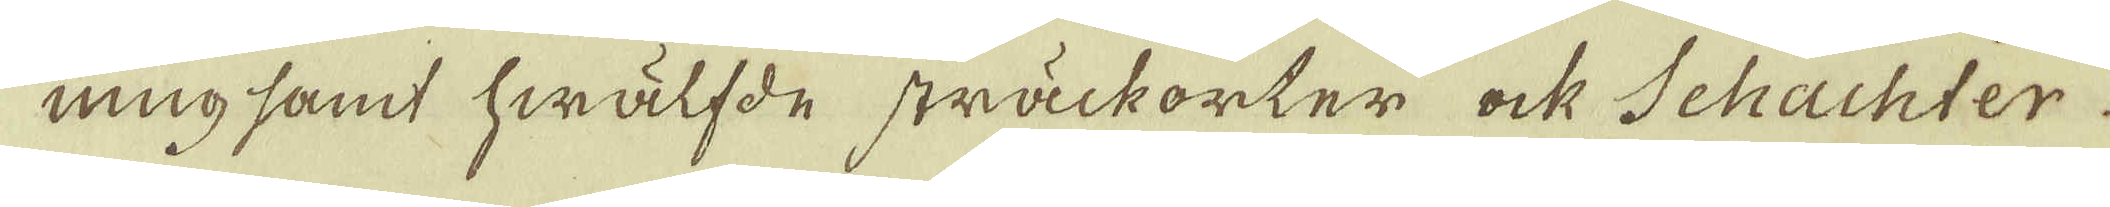ning samt swälfde sträckorter ock Schachter-
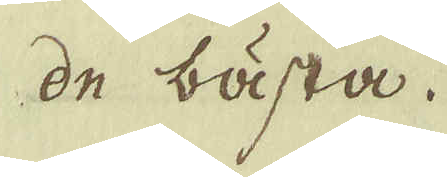de bästa.
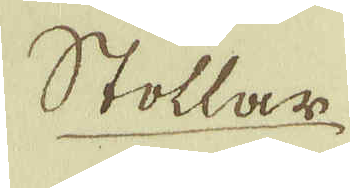Stollar
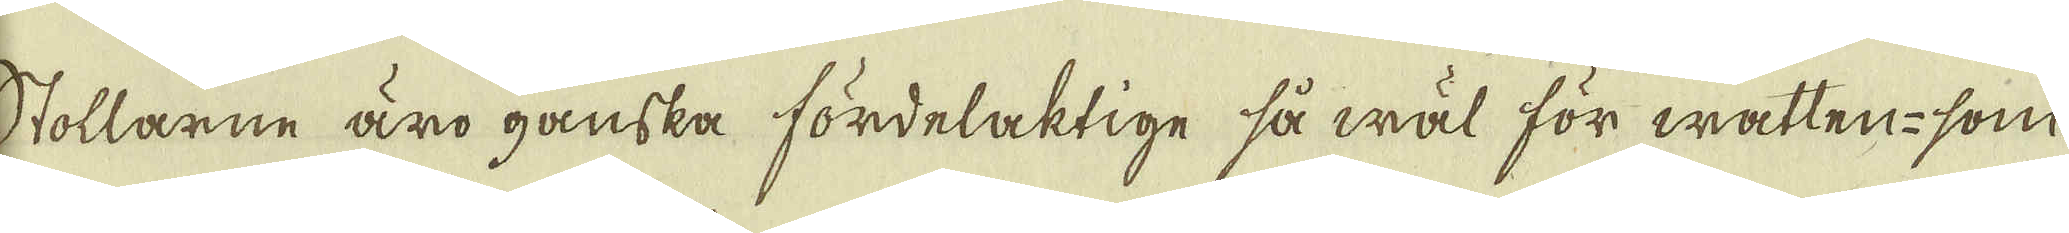Stollarne äro ganska fördelaktige så wäl för watten- som
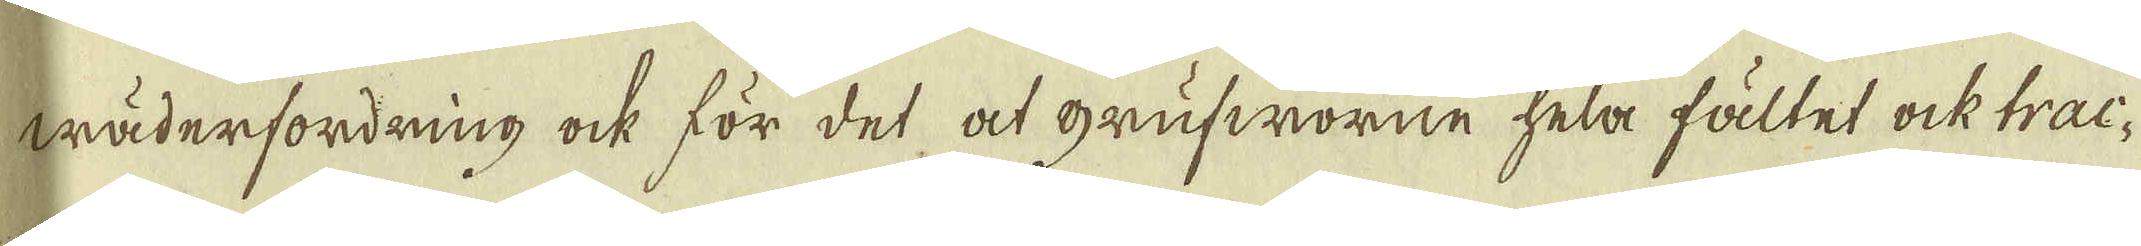wäderfordring ock för det at grufworne hela fältet ock trac-
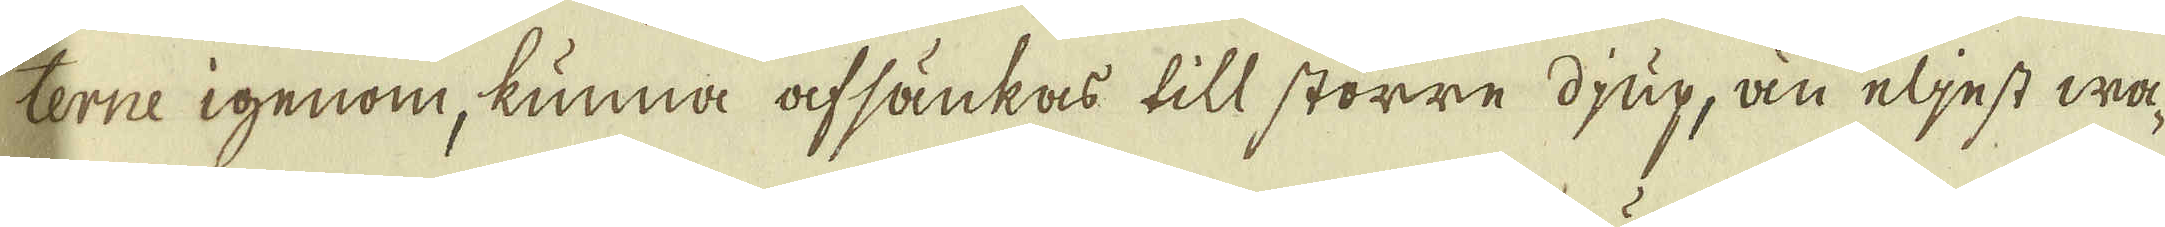terne igenom, kunna afsänkas till större djup, än eljest wa-
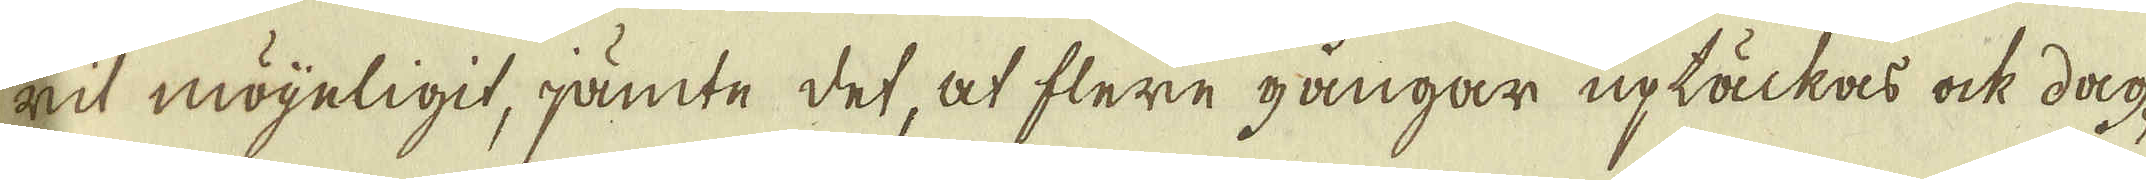rit möyeligit, jämte det, at flere gångar uptäckas ock dag-
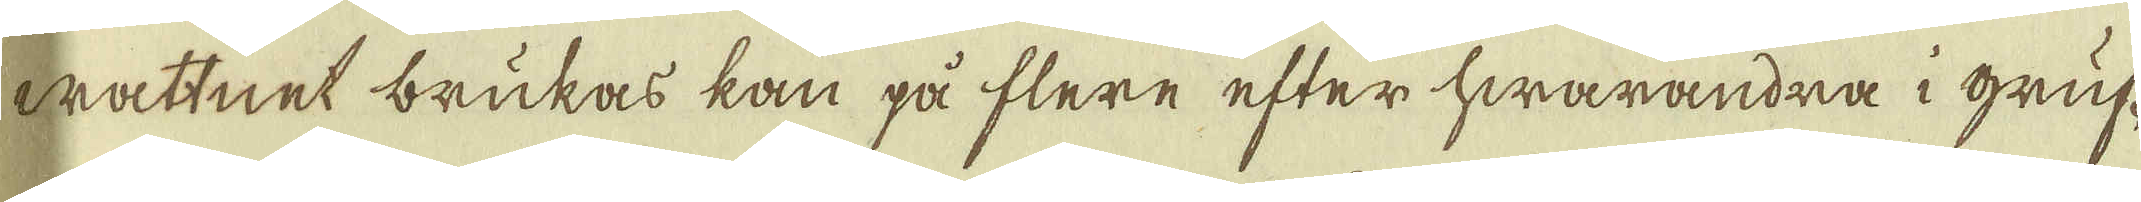wattnet brukas kan på flere efter hwarandra i gruf-
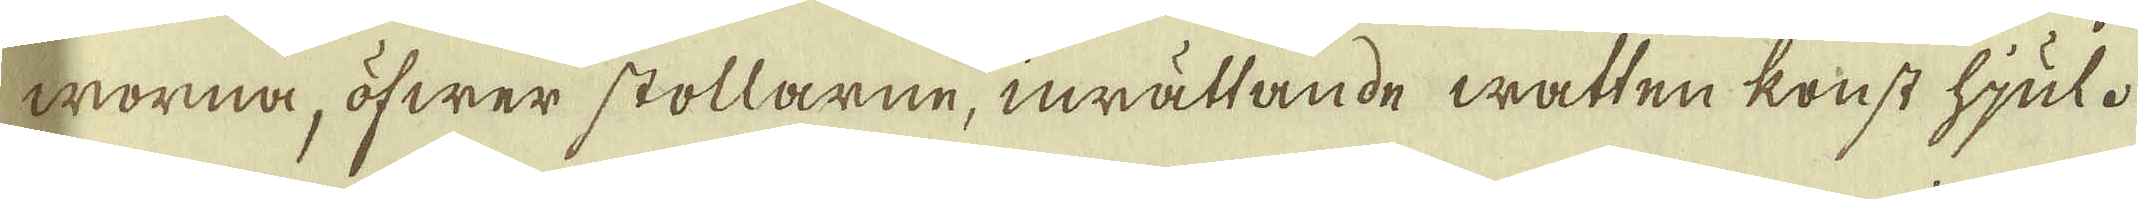worna, öfwer stollarne, inrättande watten konst hjul.
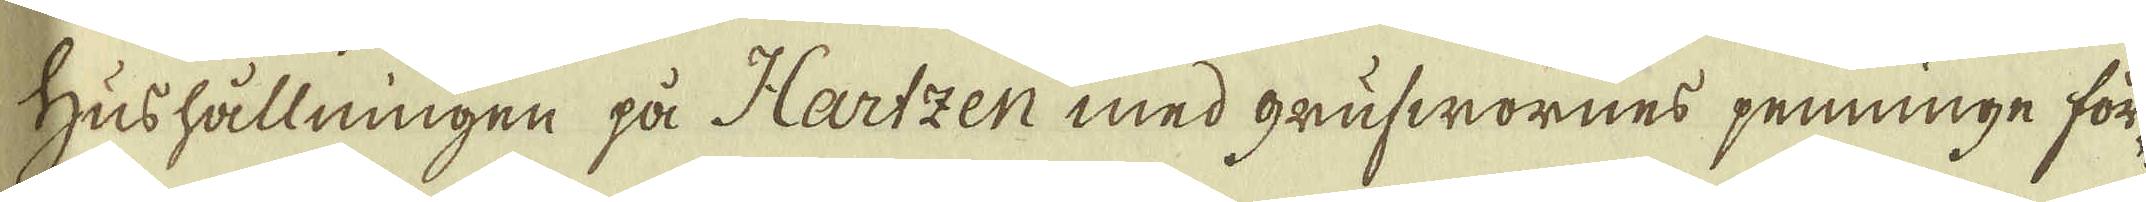Hushållningen på Hartzen med grufwornes penninge för-
